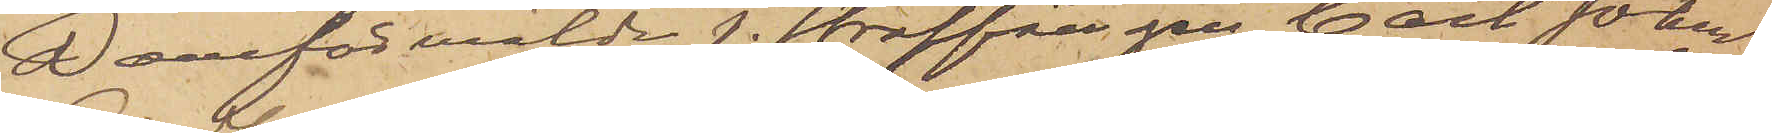D omförmälde f. Straffången Carl Johan
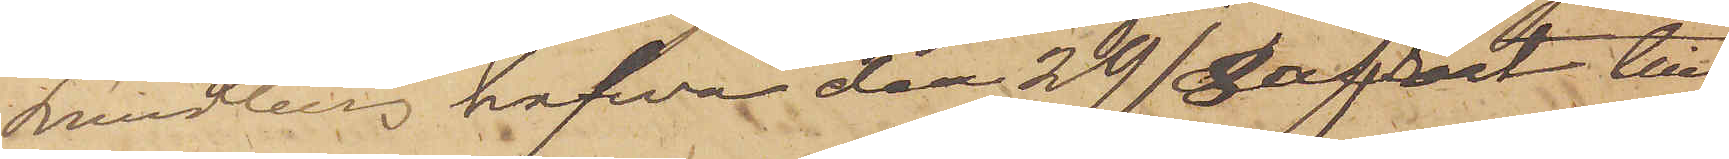Lundberg hafva den 29/8 afrest till
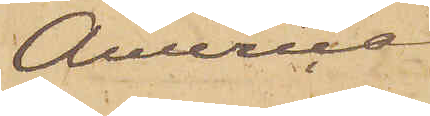America
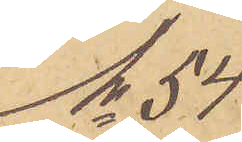No 54
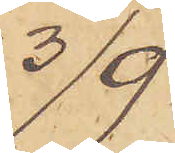3/9.
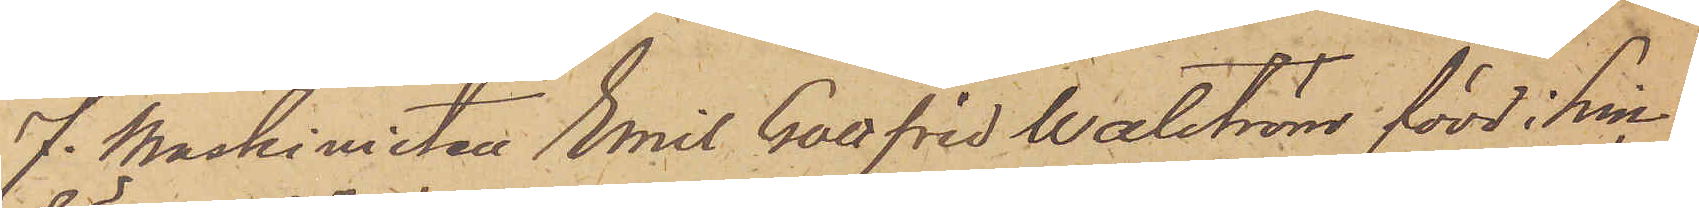f. Maskinisten Emil Gottfrid Walström född i Lin¬
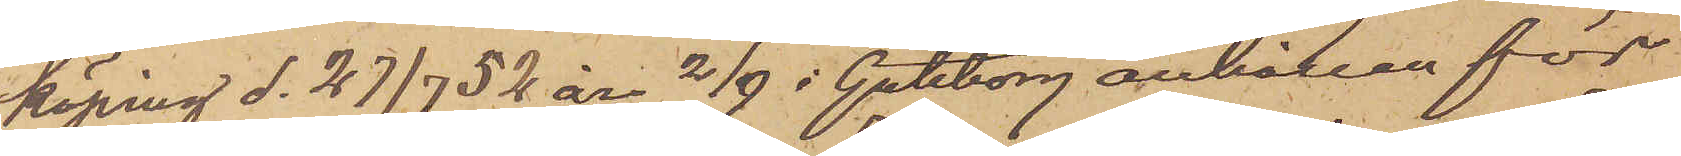köping d. 27/7 52 är 2/9 i Göteborg anhållen för
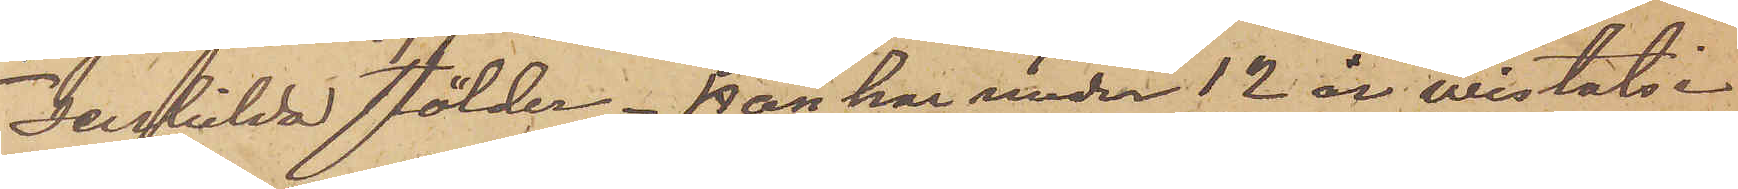1 serskilda stölder. Han har under 12 år wistats i
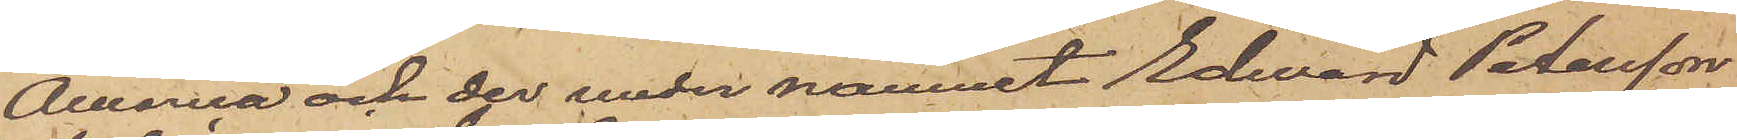America och der under namnet Edward Petersson
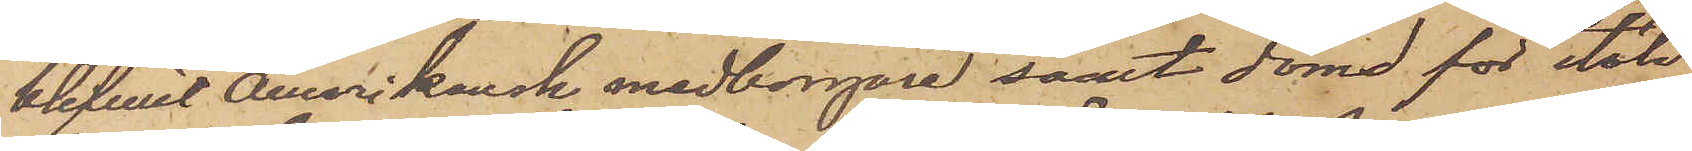blifwit Amerikansk medborgare samt dömd för stöld
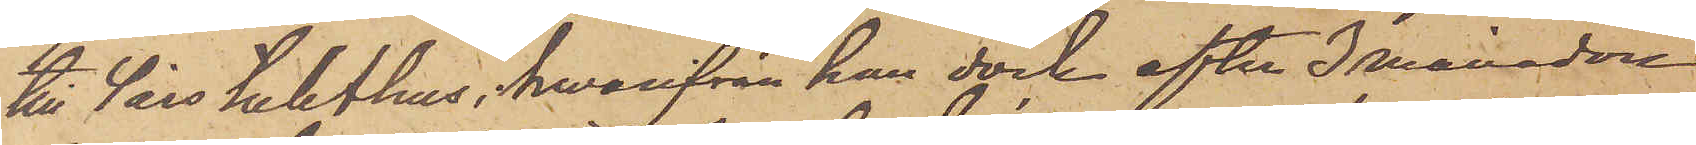till 4 års tukthus, hvarifrån han dock efter 3 månader
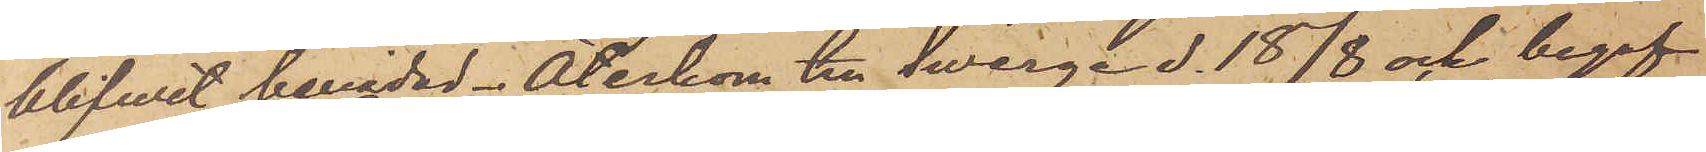blifvit benådad. Återkom till Swerge d. 18/8 och begaf
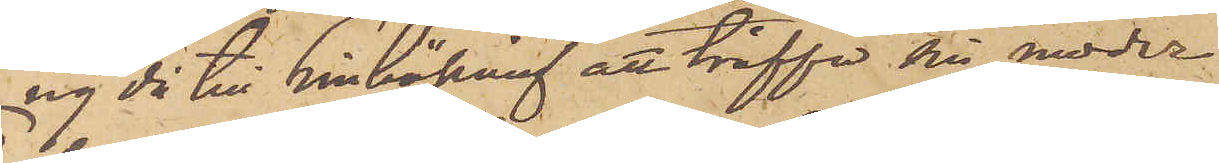sig då till Linköping att träffa sin moder.
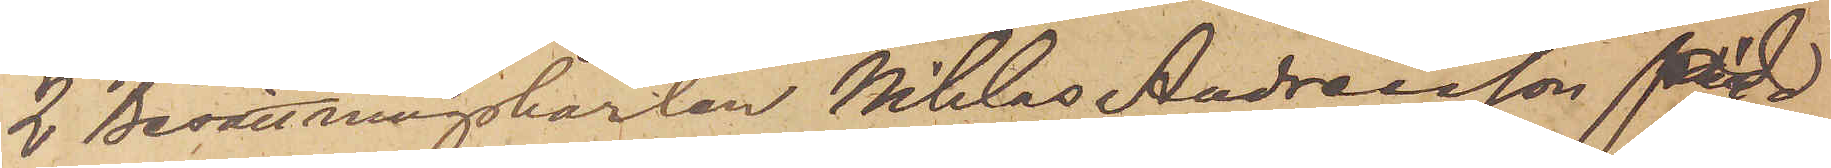2 Besättningskarlen Niklas Andreasson född
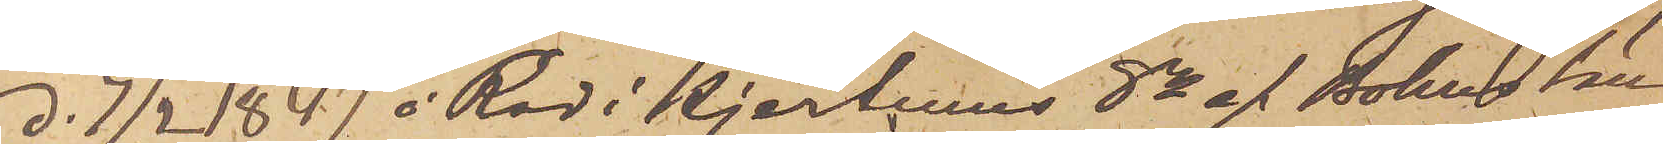d. 7/2 1847 å Röd i Hjertums Sn af Bohus Län
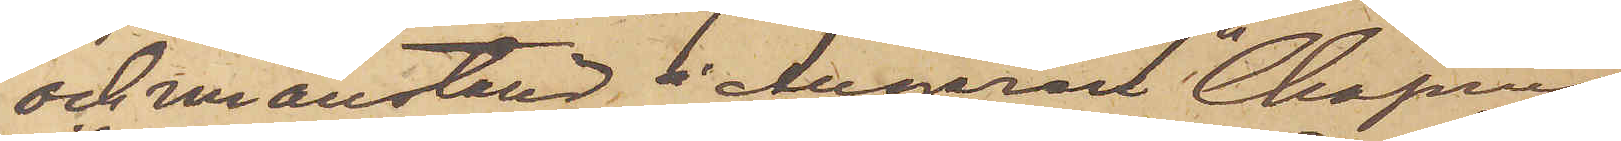och nu anställd i Ångaren "Chapman".
